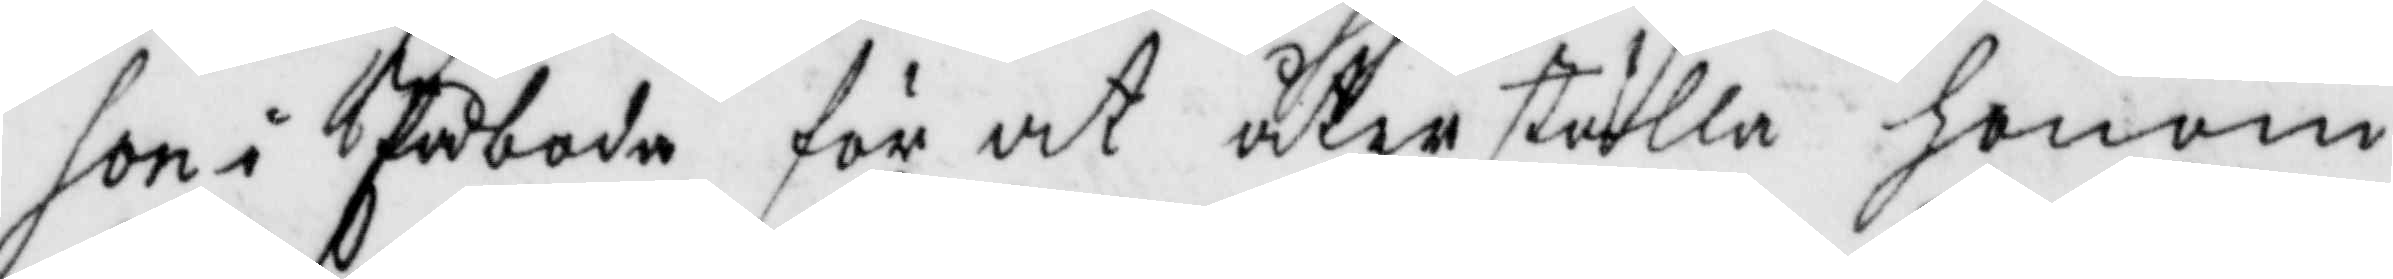son i Påboda för at återställa honom
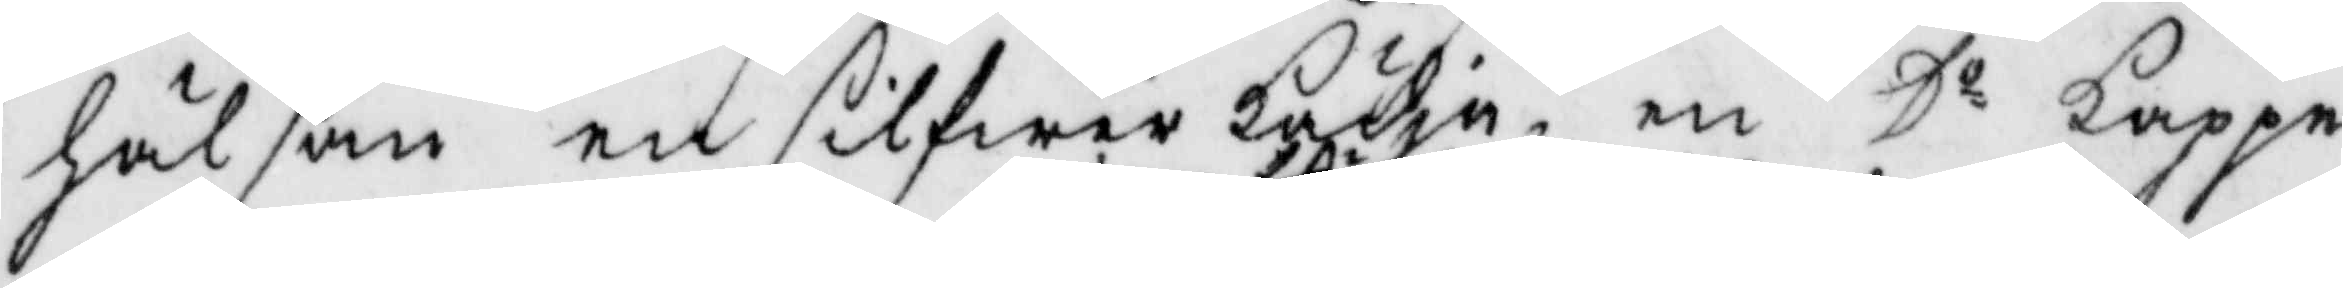hälsan en silfwerkädja en Do kappe
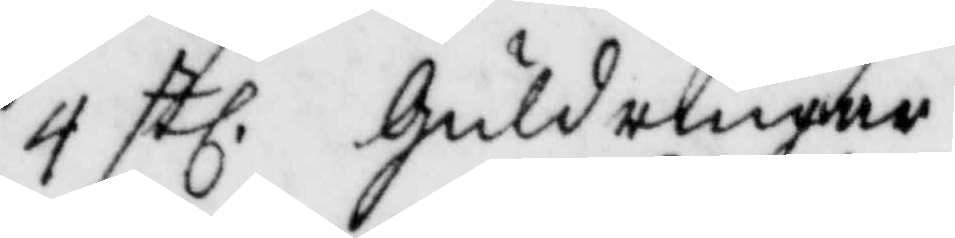4 stl guldringar
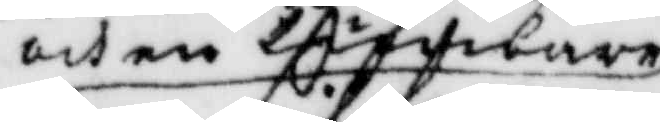och en tumlare
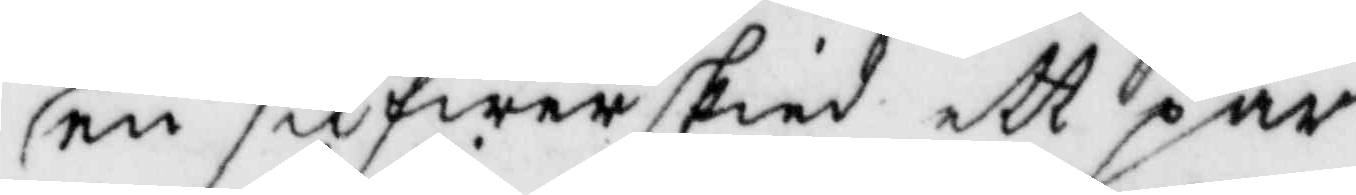en silfwerskied ett par
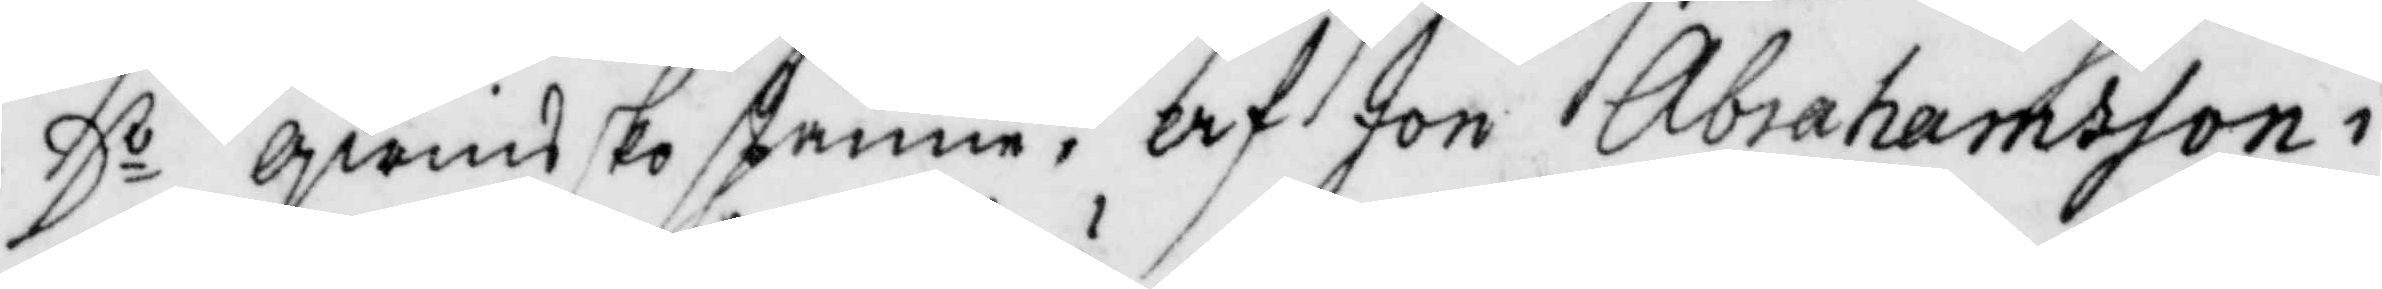Do qwinsskospännen; af Jon Abrahamsson i
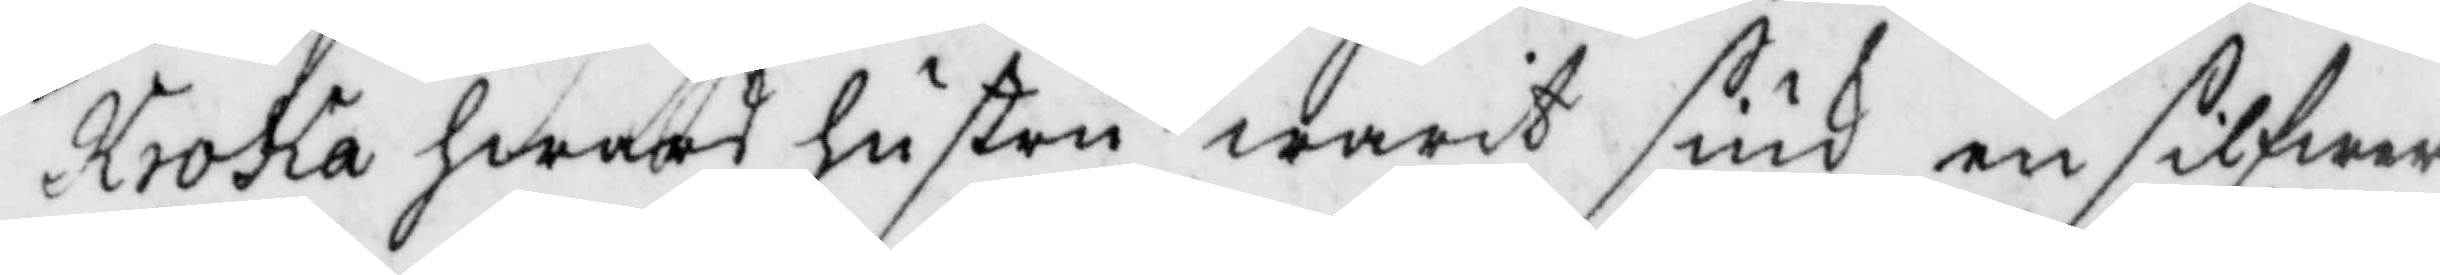Kroka hwars hustru warit siuk en silfwer¬
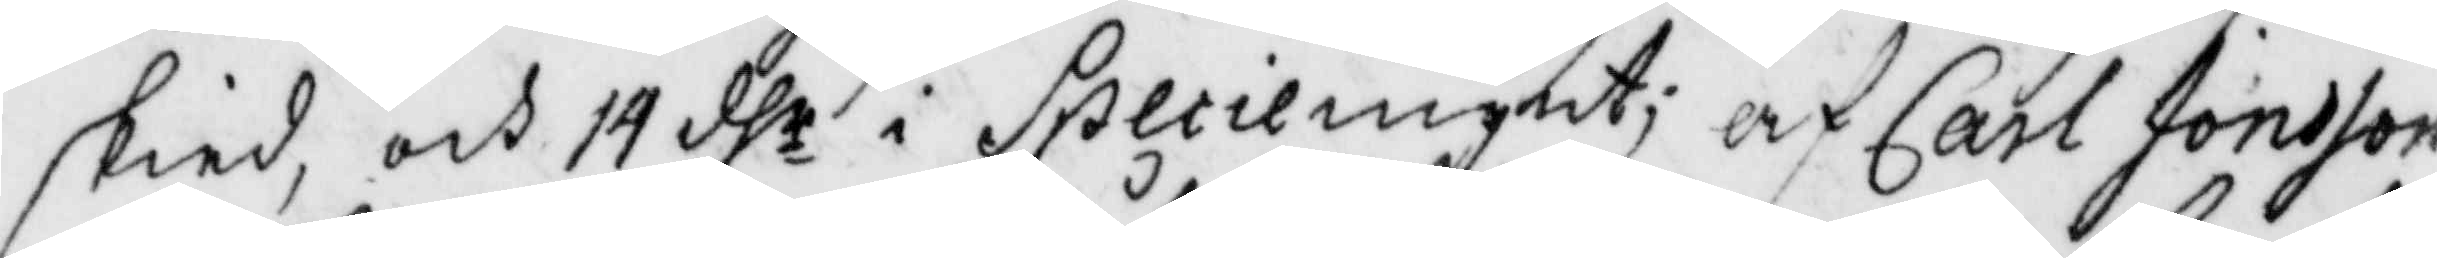skied, och 14 dhr i Speciemynt; af Carl Jonsson
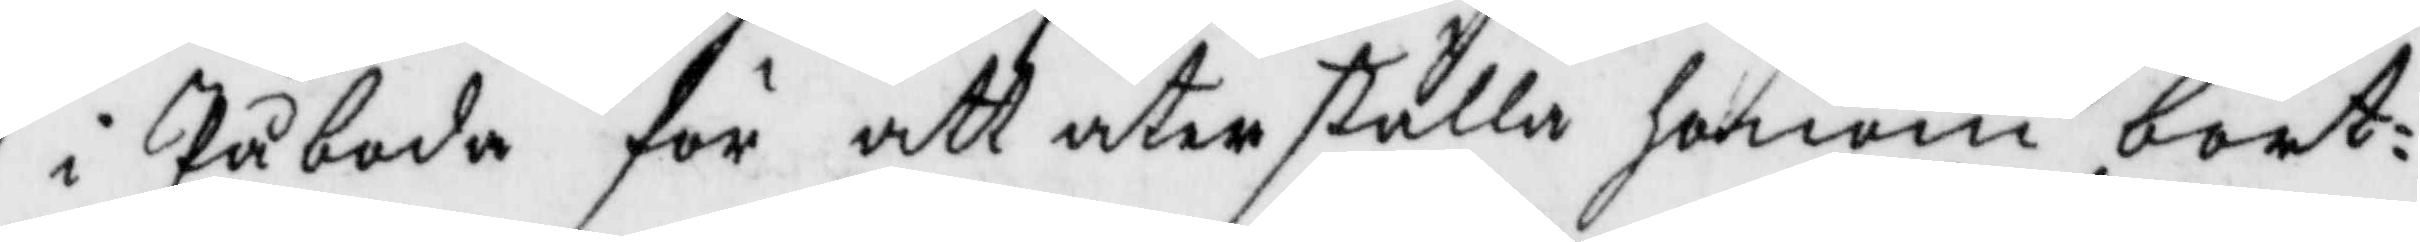i Påboda för att återställa honom bort¬
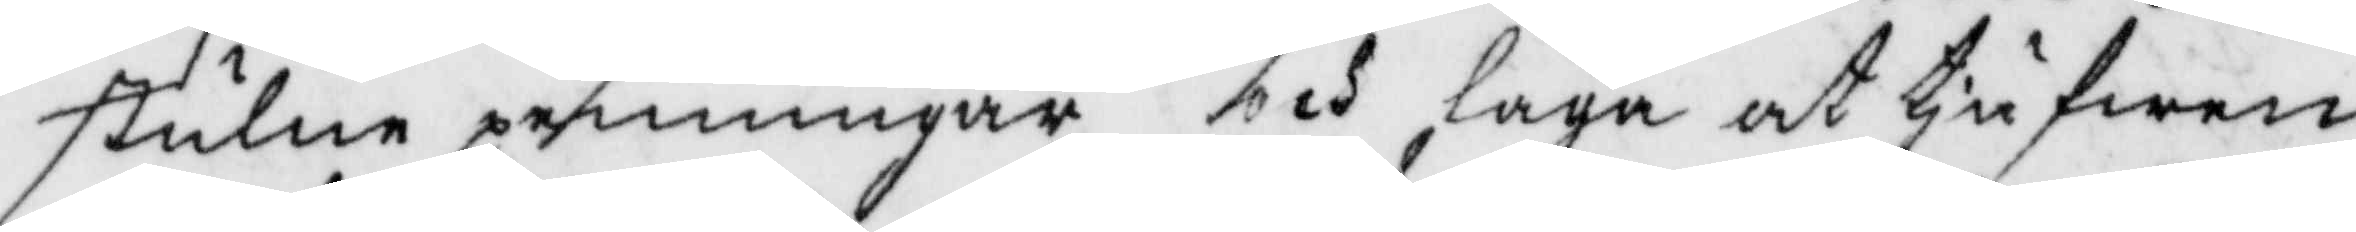stulne penningar och laga att tjufwen
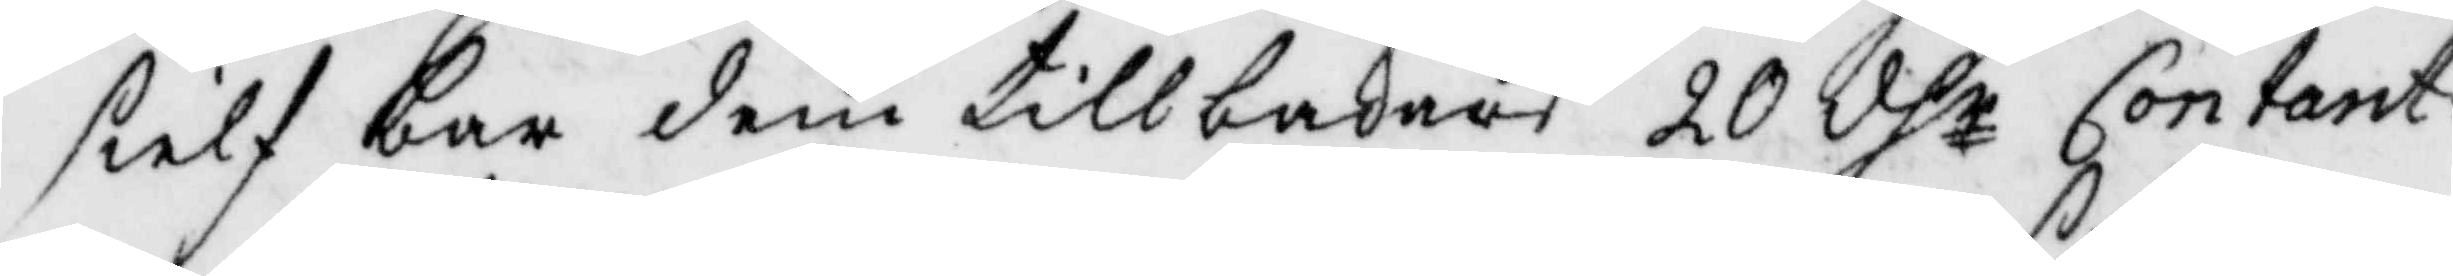sielf bar dem tillbakars 20 dhr Contant
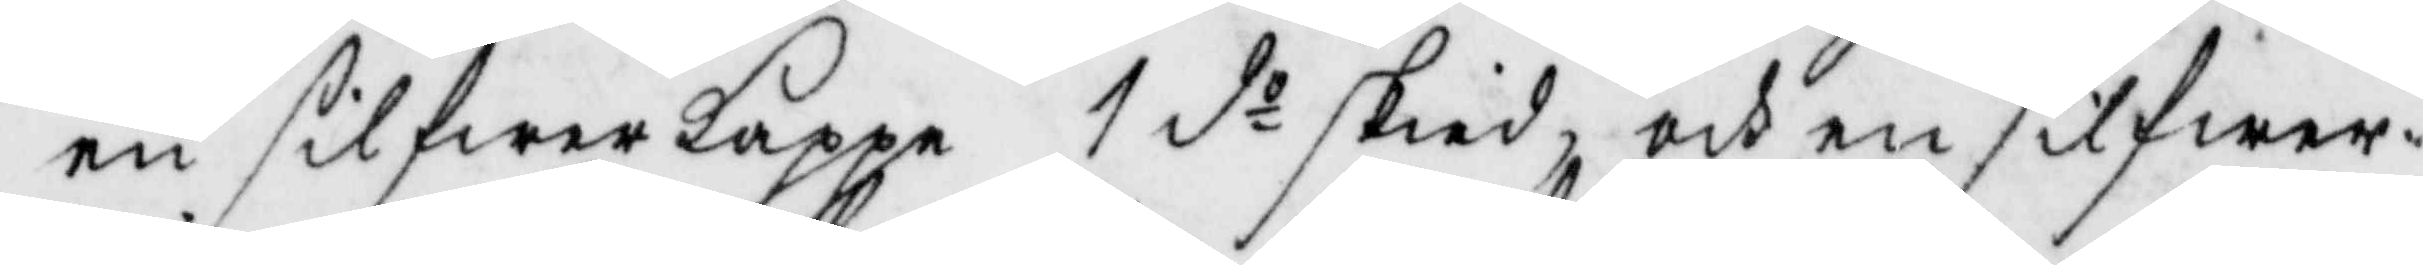en silfwerkappe 2 do skied och en silfwer¬
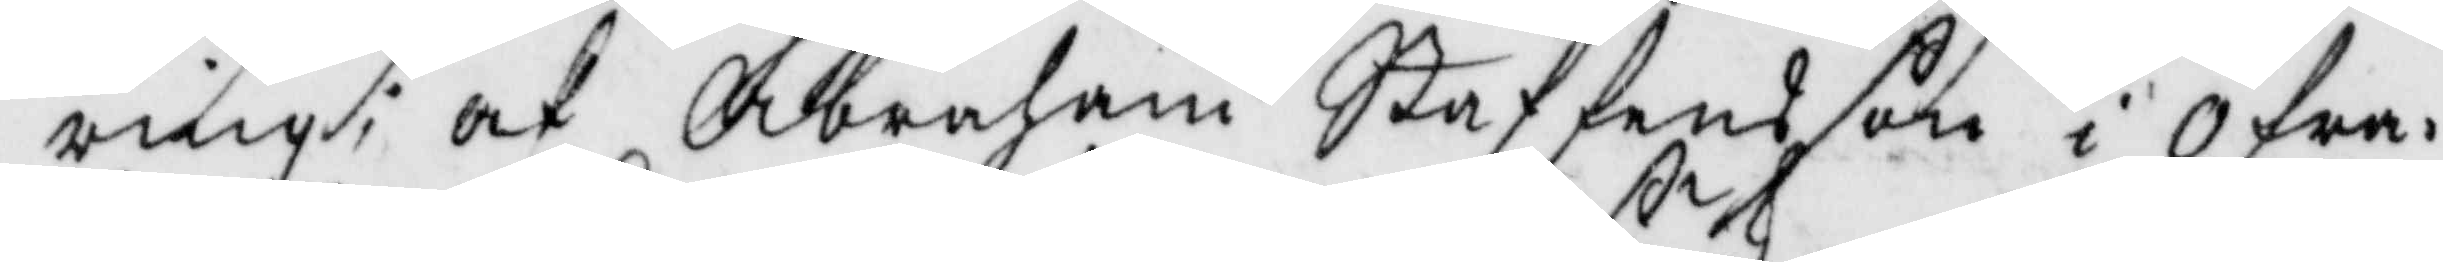ring; af Abraham Staffansson i Öfra¬
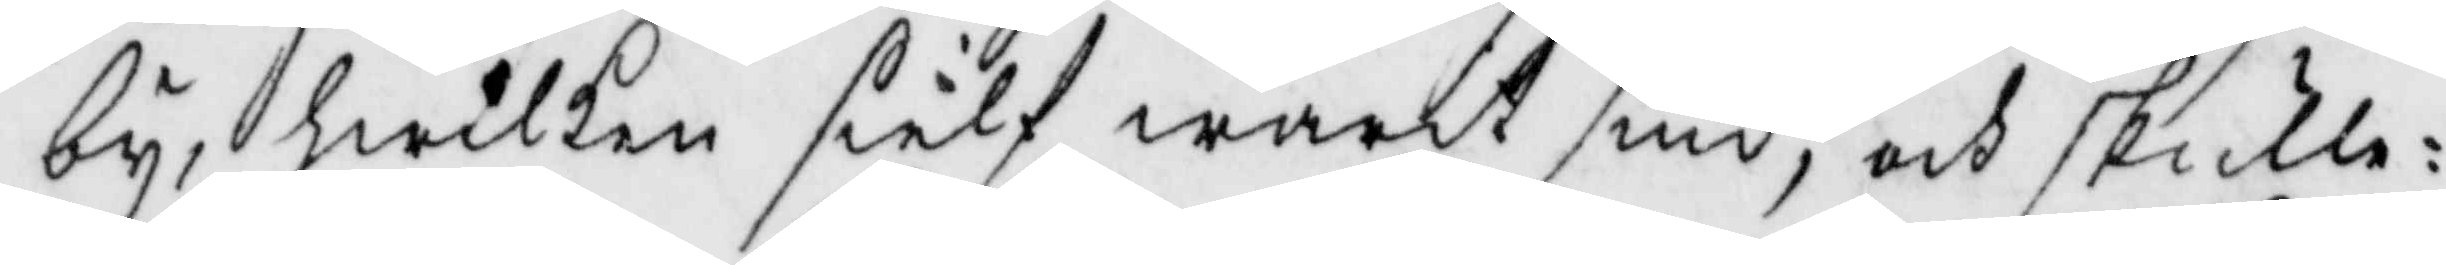by, hwilken sielf warit siuk, och skulle
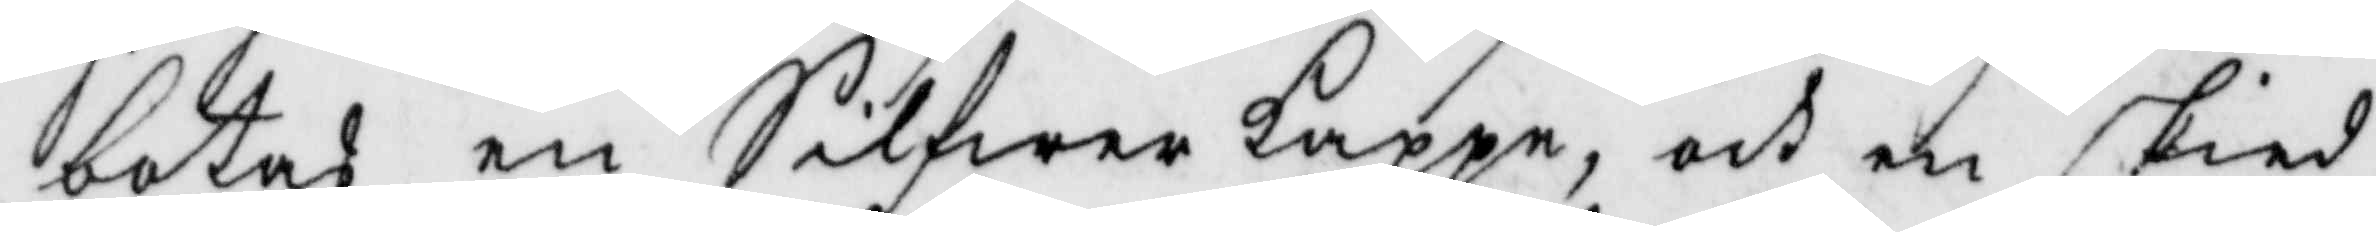botas en Silfwerkappe och en skied
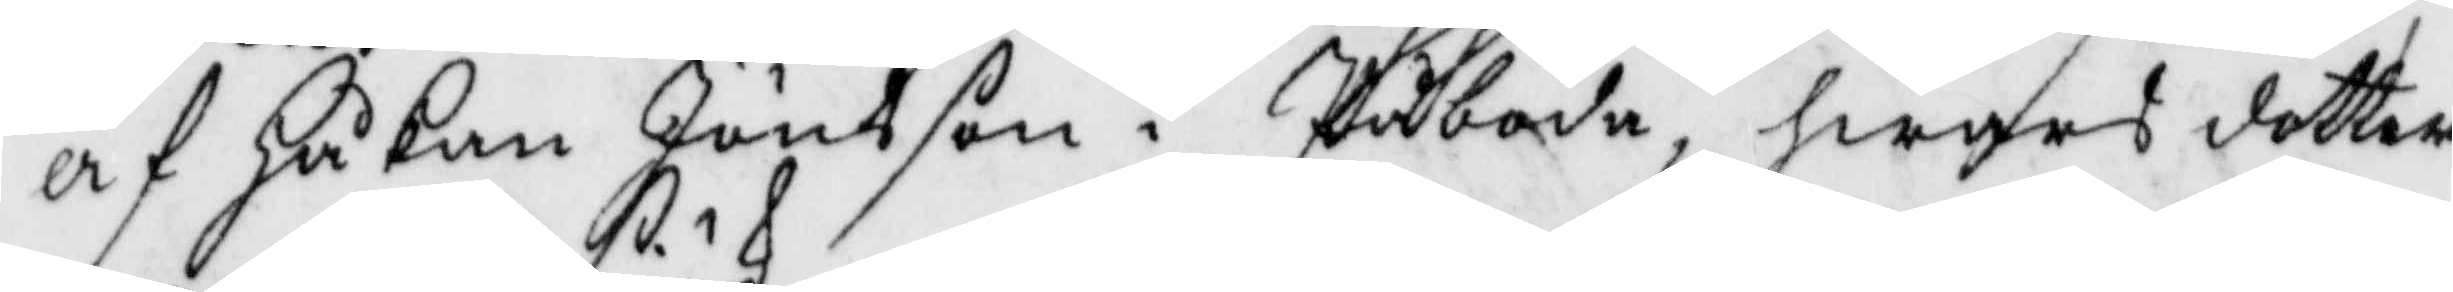af Håkan Jönsson i Påboda, hwars dotter
